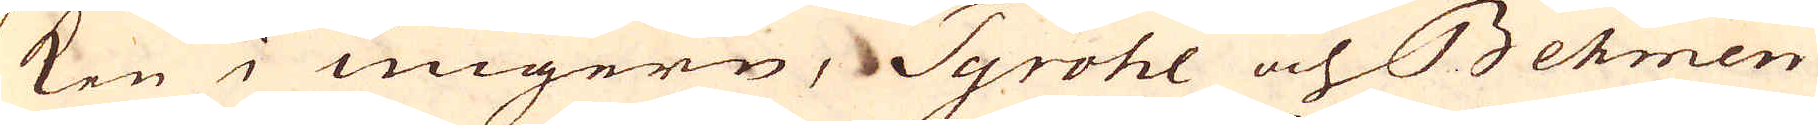ken i Ungern, Tyrohl och Behmen
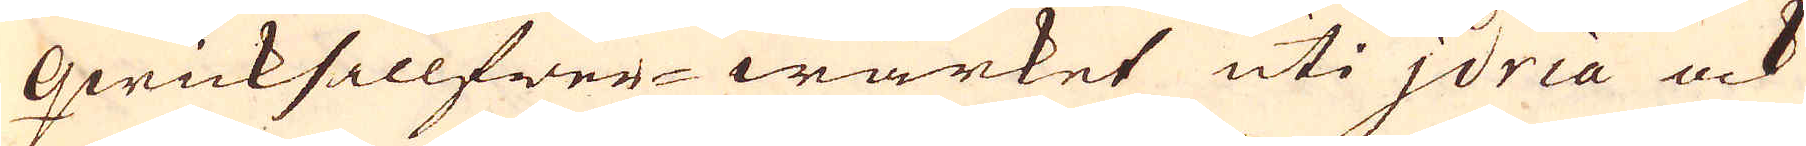Qwicksillfwer-wärket uti Jdria ock
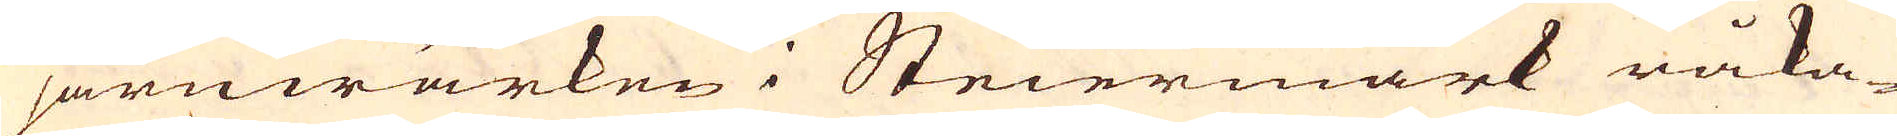järnwärken i Steiermark råka-
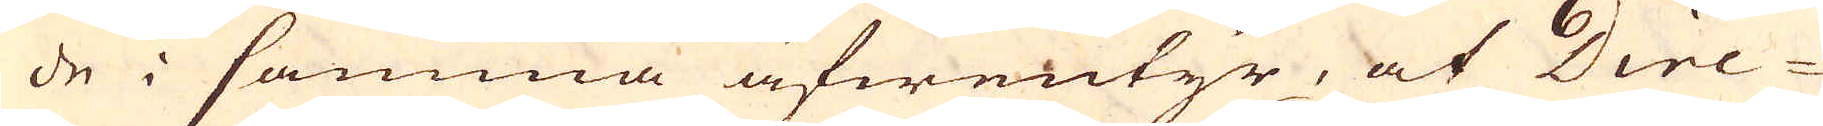de i samma äfwentyr, at Dire-
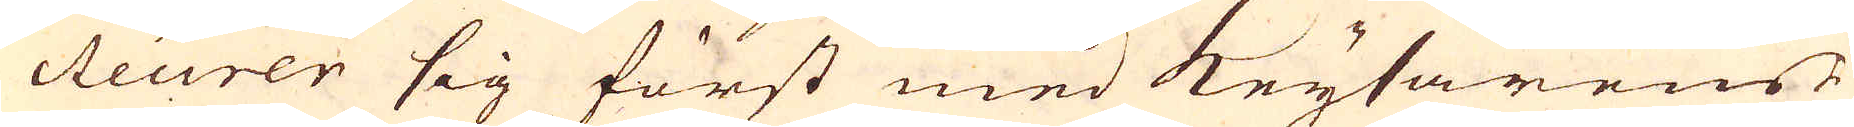cteurer sig först med Keysarens
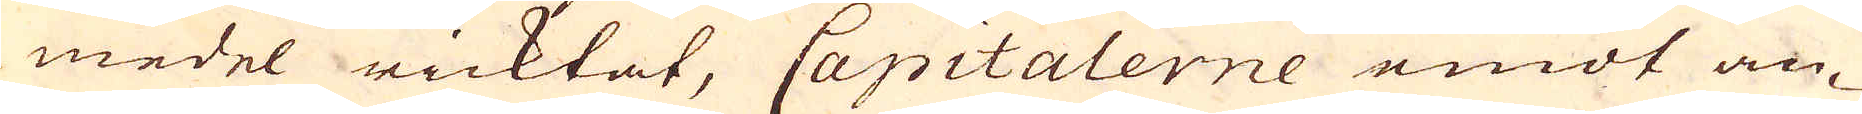medel ricktat, Capitalerne emot an-
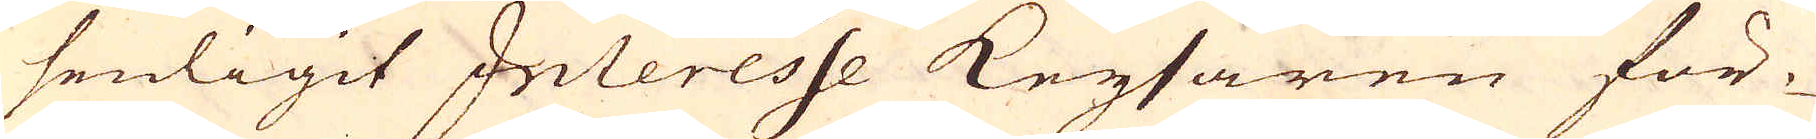senligit Interesse Keysaren för-
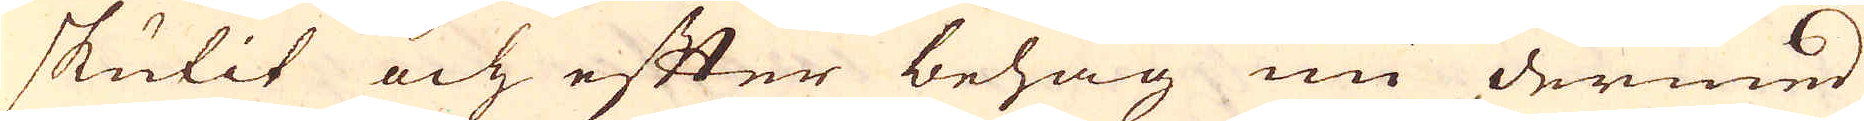skutit och efter behag nu dermed
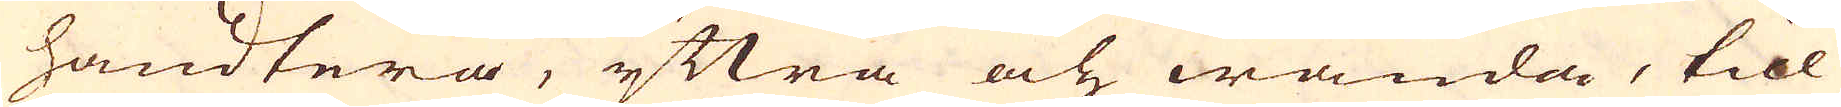handtera, yttra och wända, till
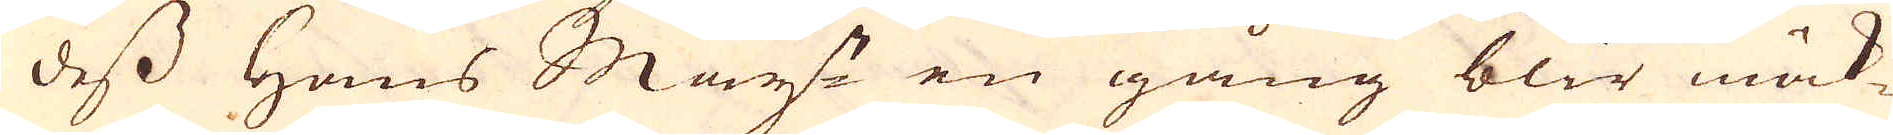dess Hans May:t en gång blir mäk-
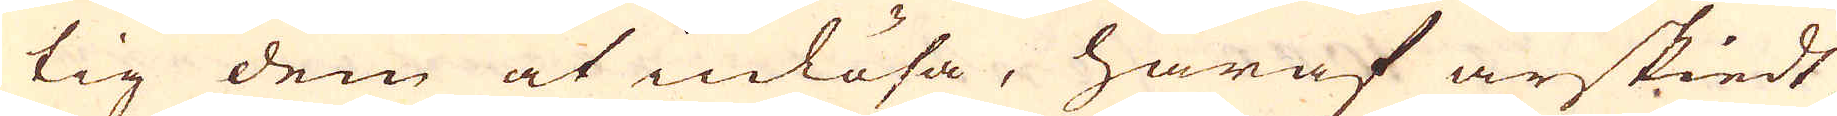tig dem at inlösa, häraf är skiedt,
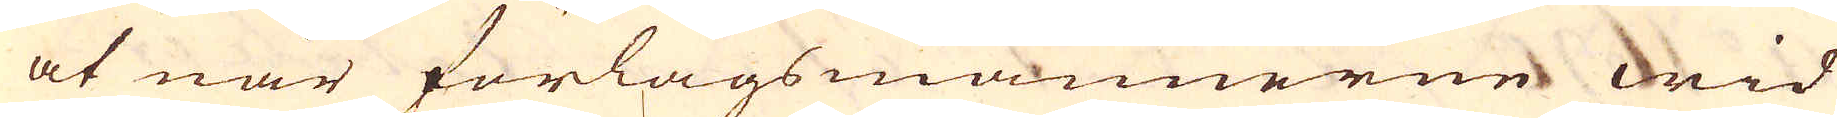at när förlagsmännerne wid
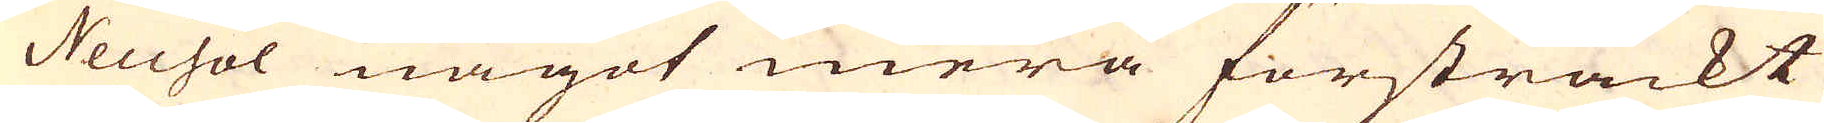Neusol något mera försträckt
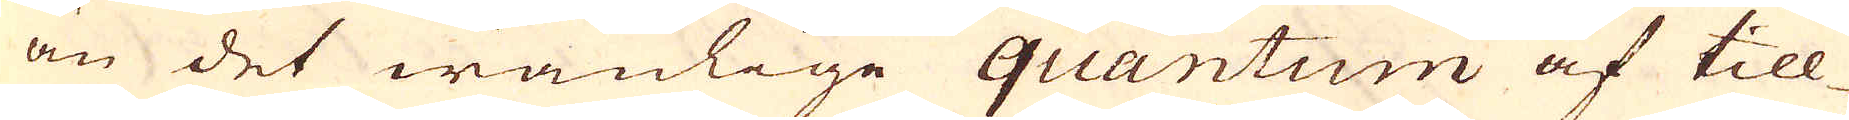än det wanlige quantum af till-
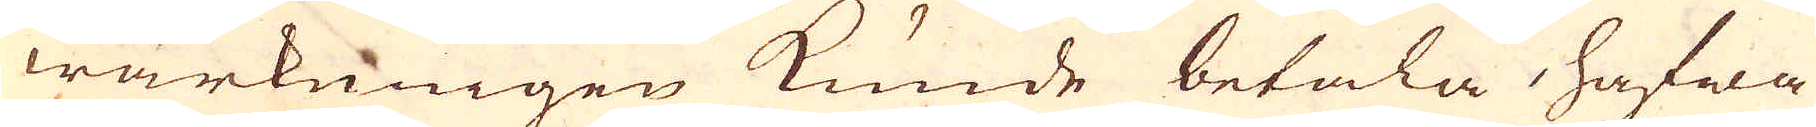wärkningen kunde betala, hafwa
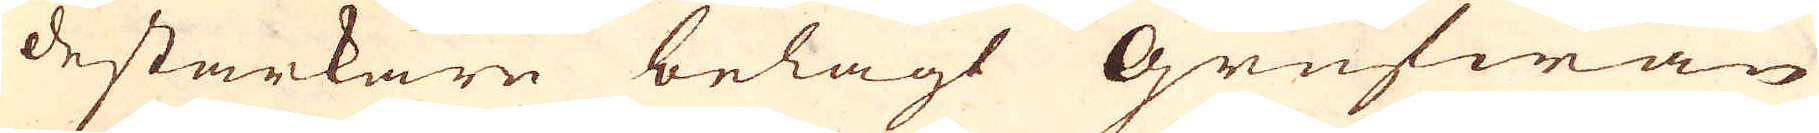de starkare belagt Grufwan
